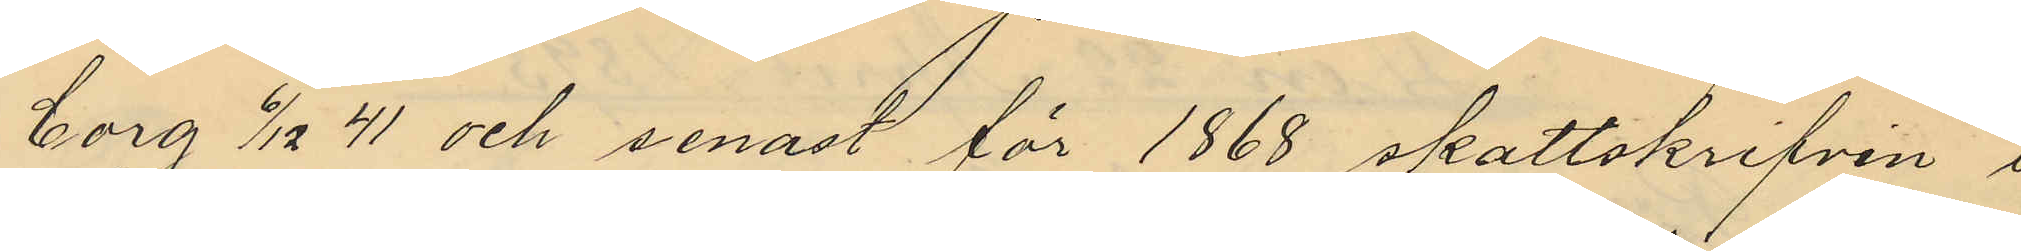borg 6/12 41 senast för 1868 skattskrifven i
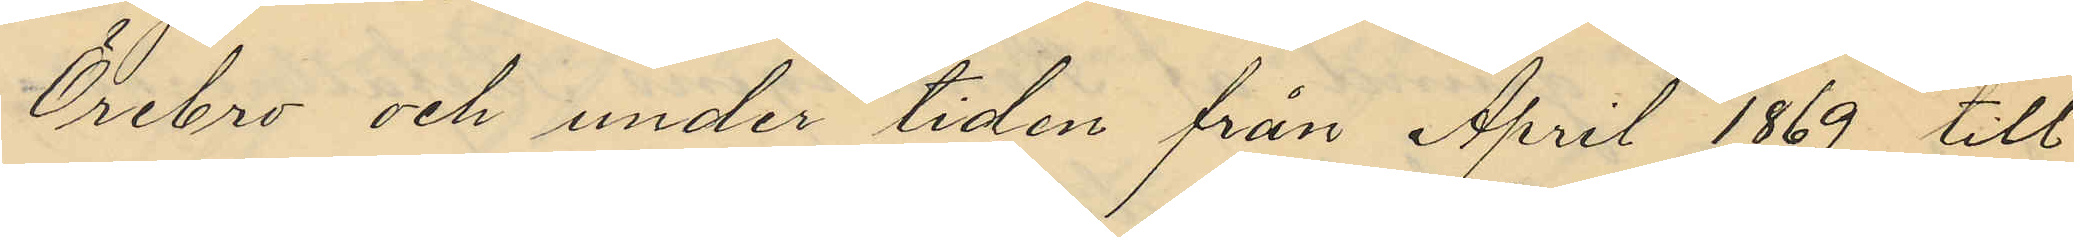Örebro och under tiden från April 1869 till
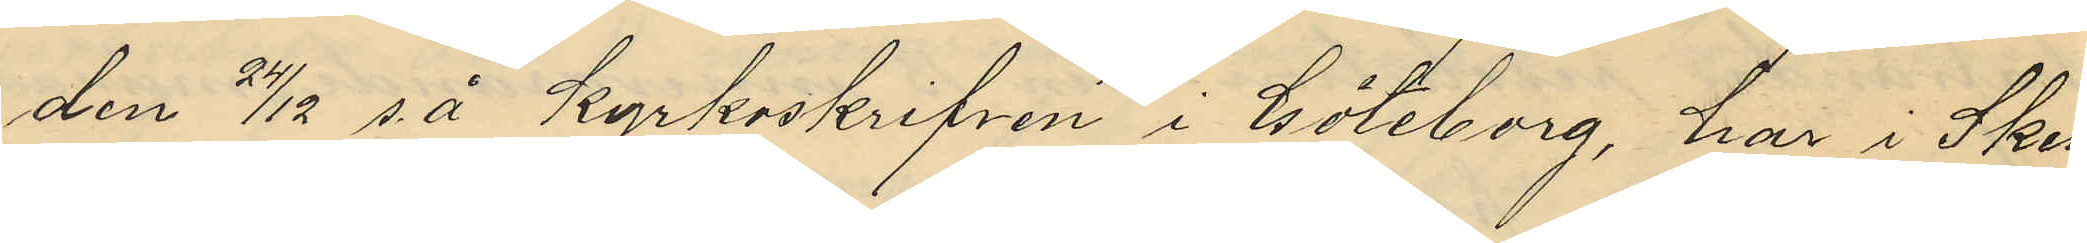den 24/12 s. å.  kyrkoskrifven i Göteborg, har i Sken¬
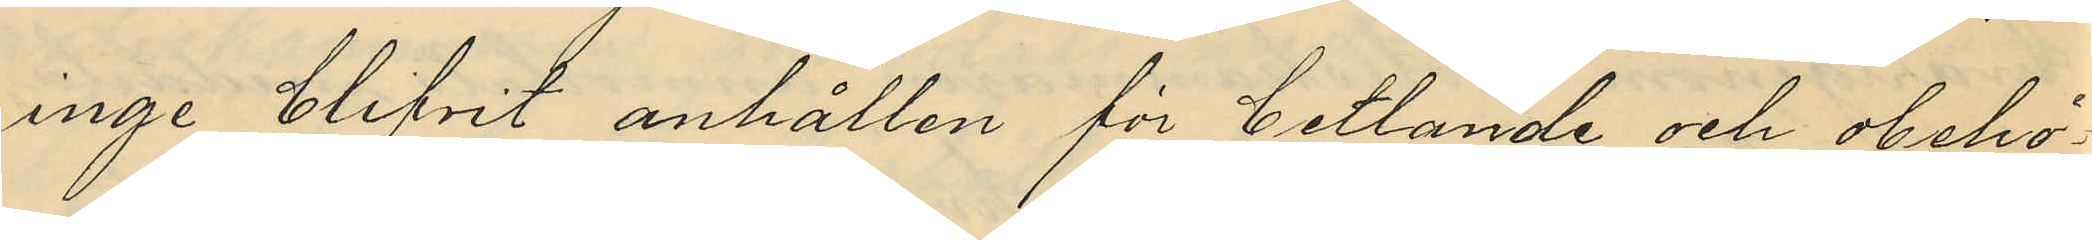inge blifvit anhållen för betlande och obehö¬
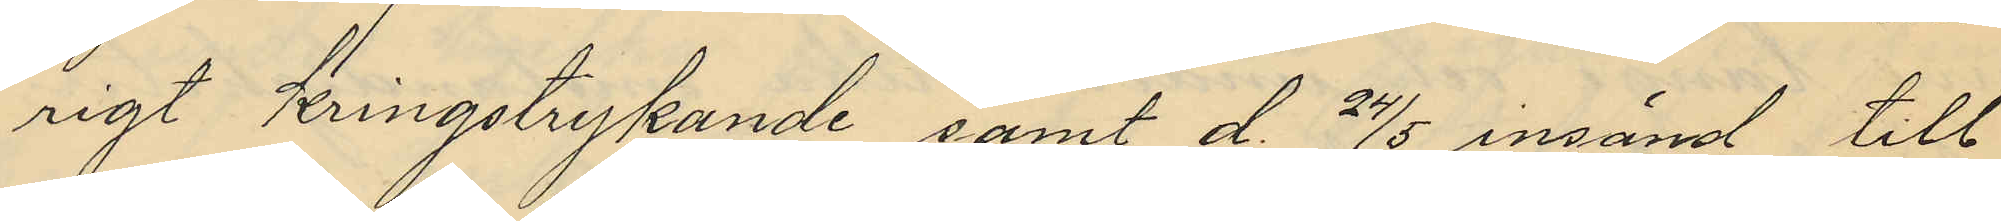rigt kringstrykande samt d. 24/5 insänd till
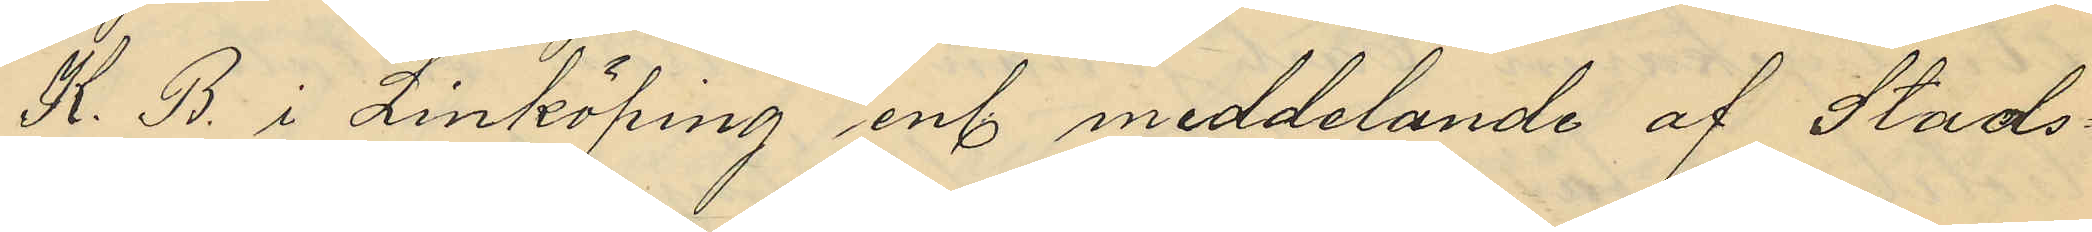K. B. i Linköping enl meddelande af Stads¬
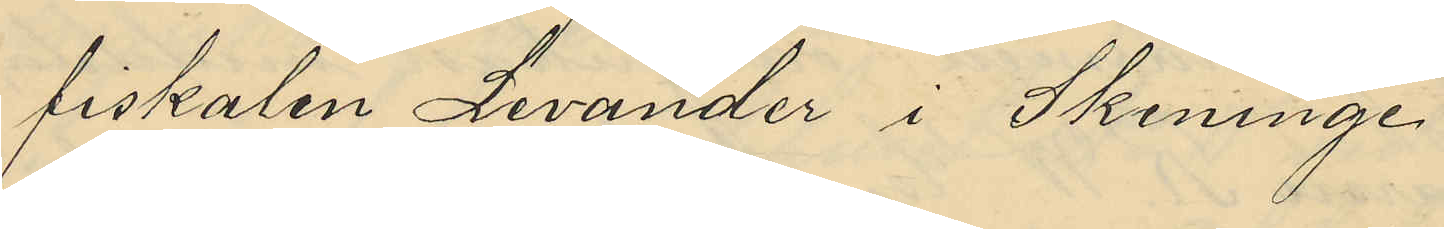fiskalen Levander i Skeninge.
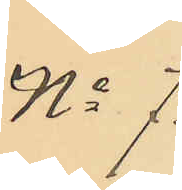No 7.
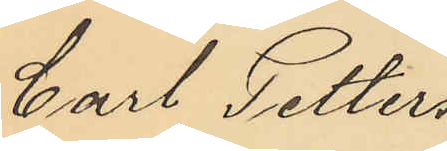Carl Petters¬
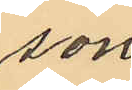son
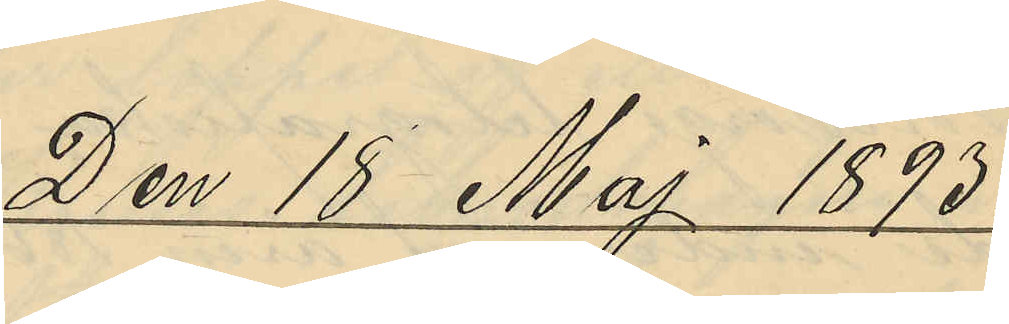Den 18 Maj 1893.
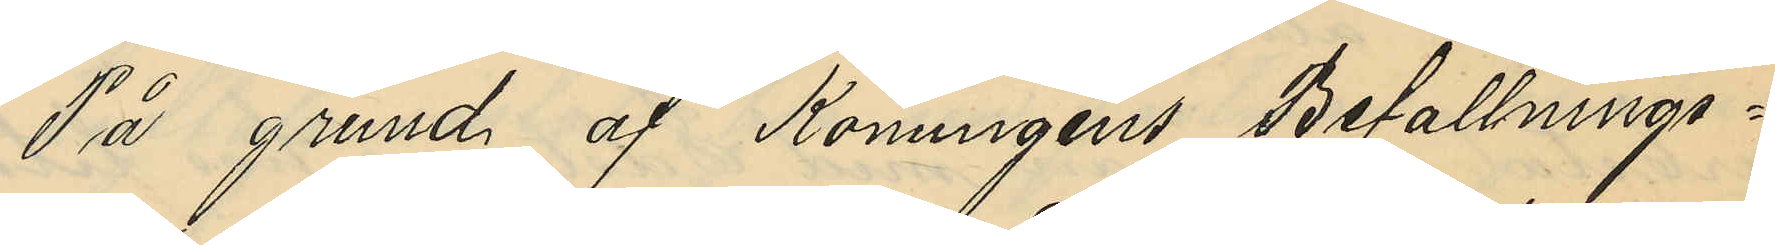På grund af Konungens Befallnings¬
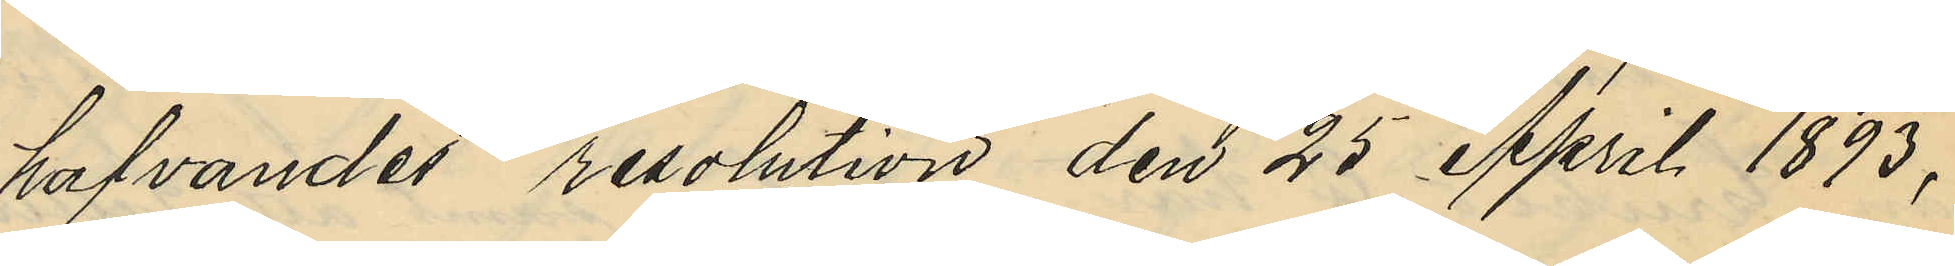hafvandes resolution den 25 April 1893,
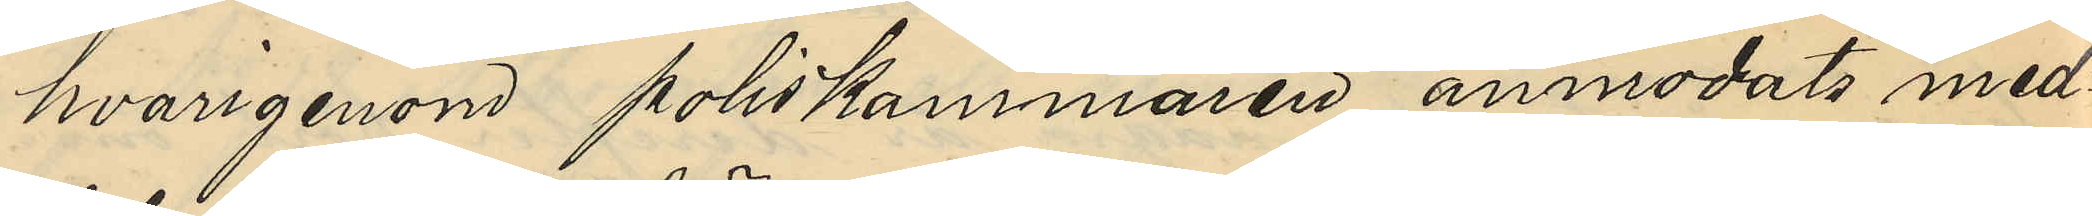hvarigenom poliskammaren anmodats med¬
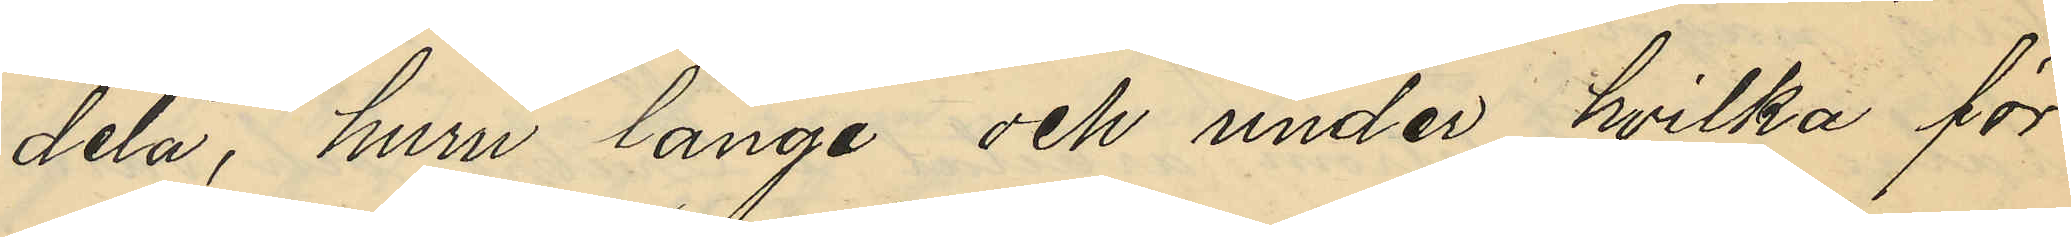dela, huru länge och under hvilka för¬
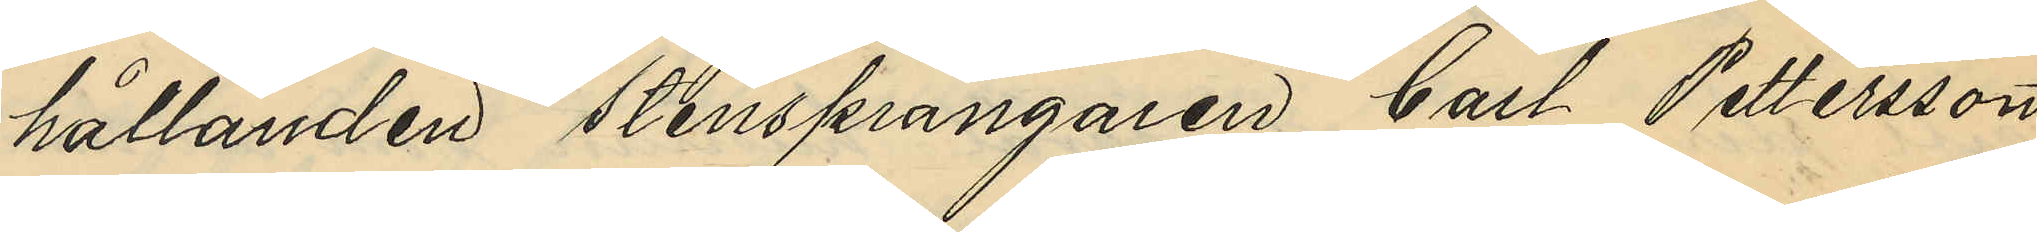hållanden Stensprängaren Carl Pettersson
